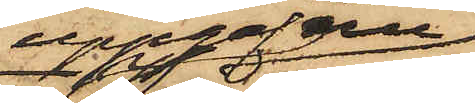uppgafv nu
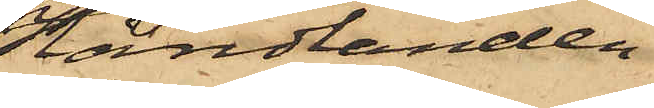Handlanden
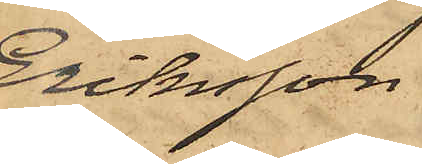Eriksson,
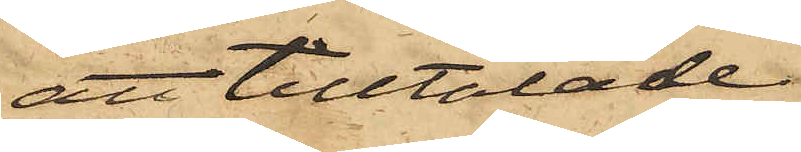att tilltalade
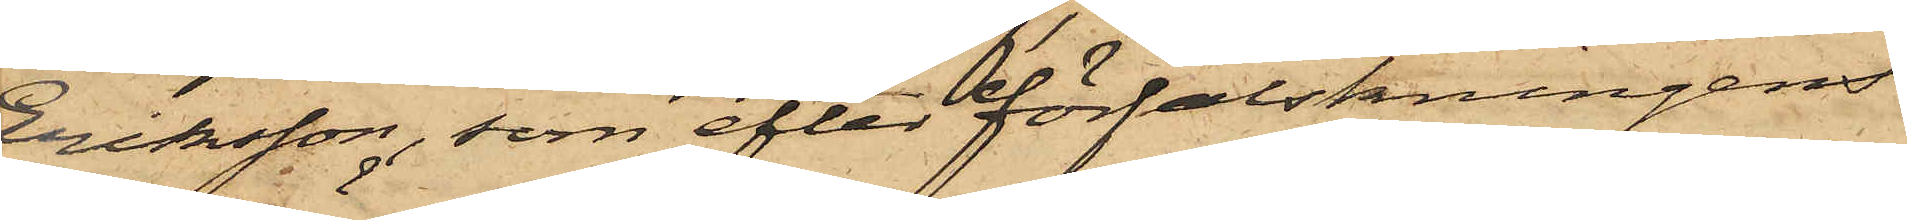Eriksson, som efter förfalskningens
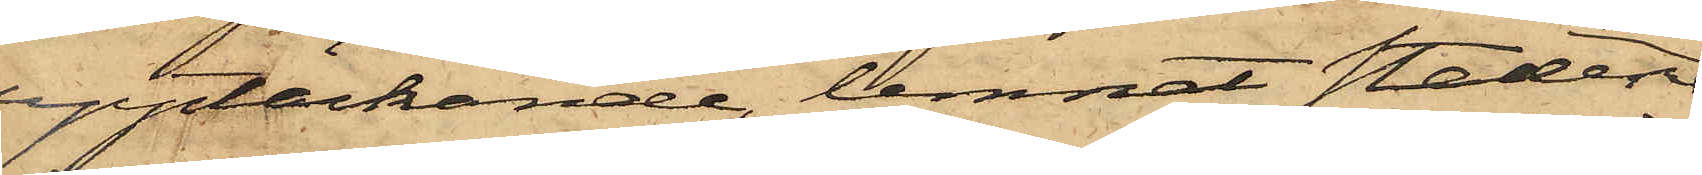upptäckande, lemnat staden
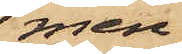men
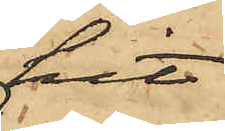hit
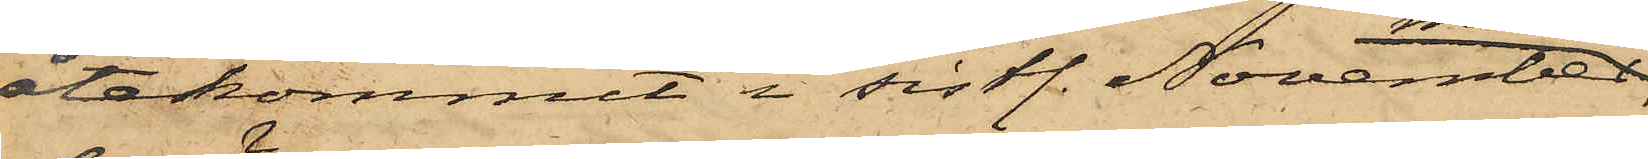återkommit i sistl. November
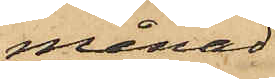månad,
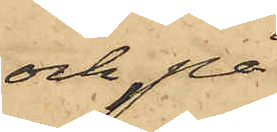och på
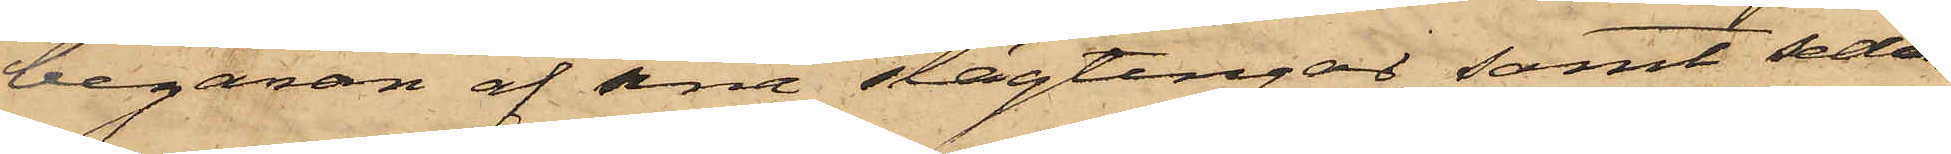begäran af sina slägtingar samt sedan
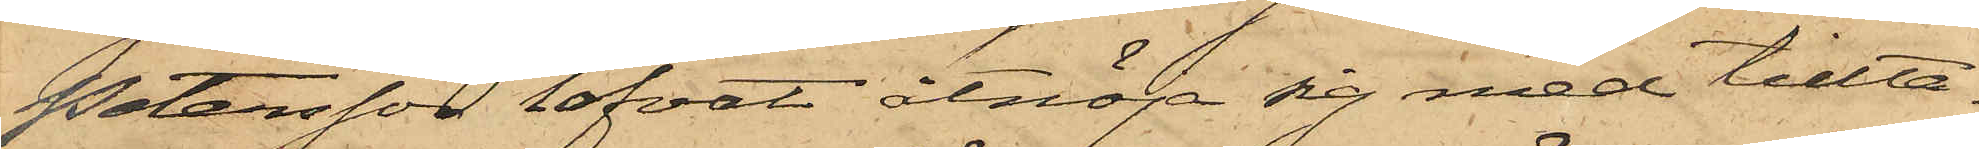Petersson lofvat åtnöja sig med tillta¬
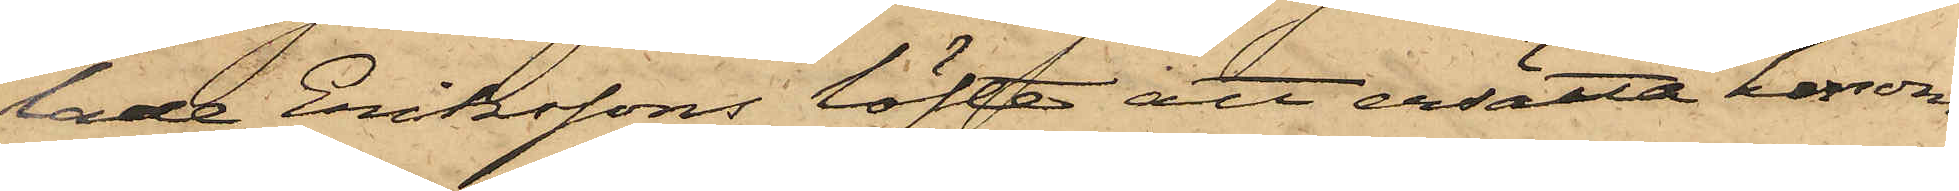lade Erikssons löfte att ersätta honom
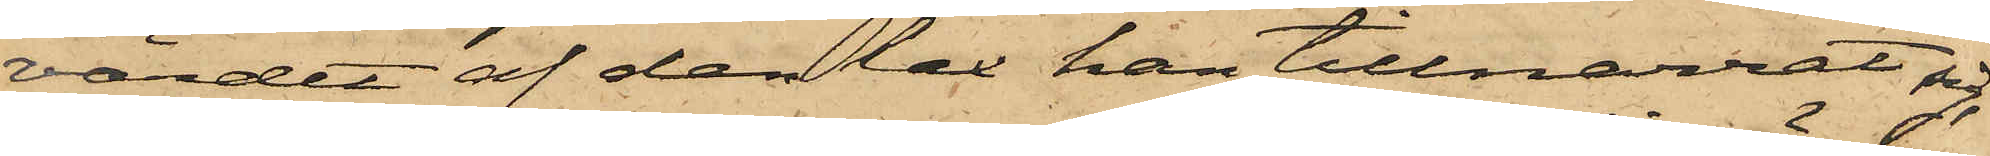värdet af den lax han tillnarrat sig,
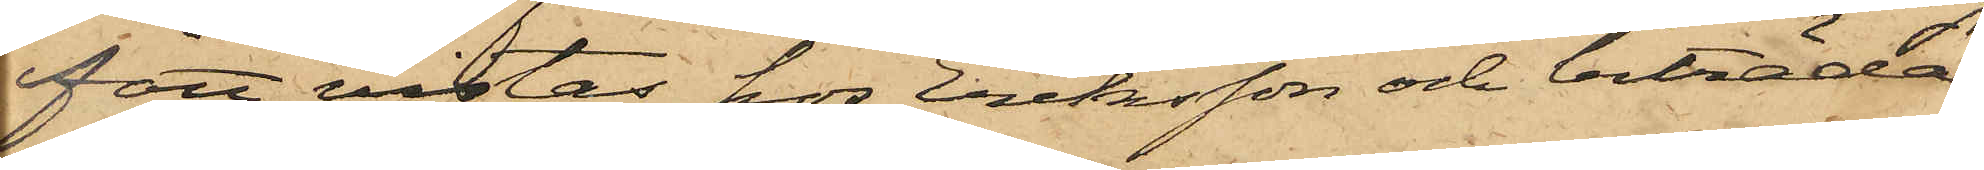fått vistas hos Eriksson och biträda
